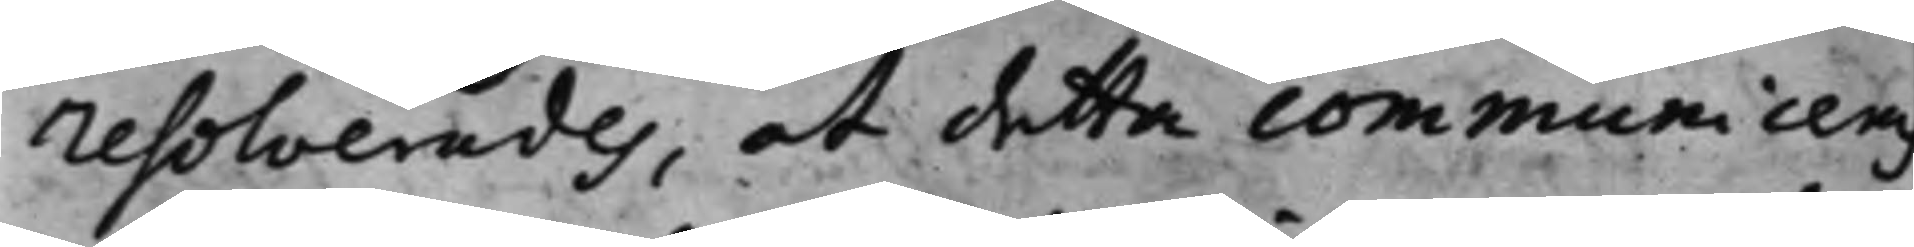resolverades, at detta communiceras
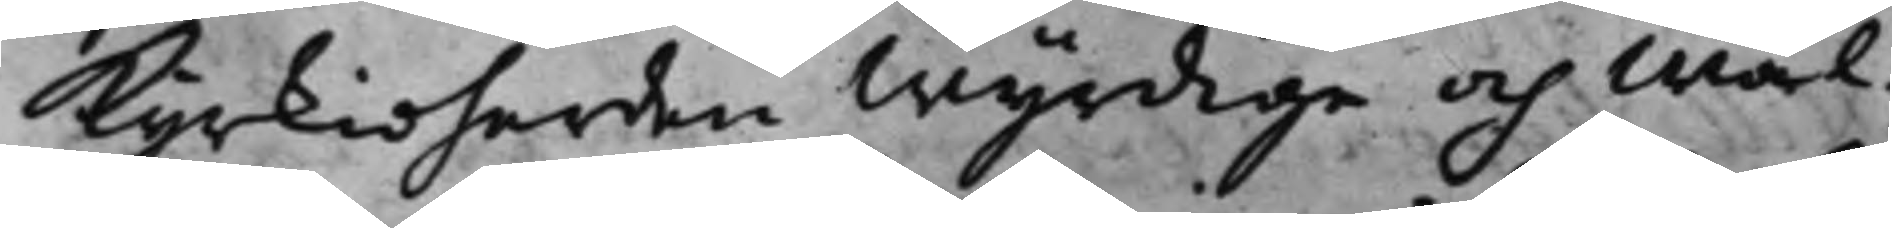Kyrkioherden Wyrdige och Wäl¬
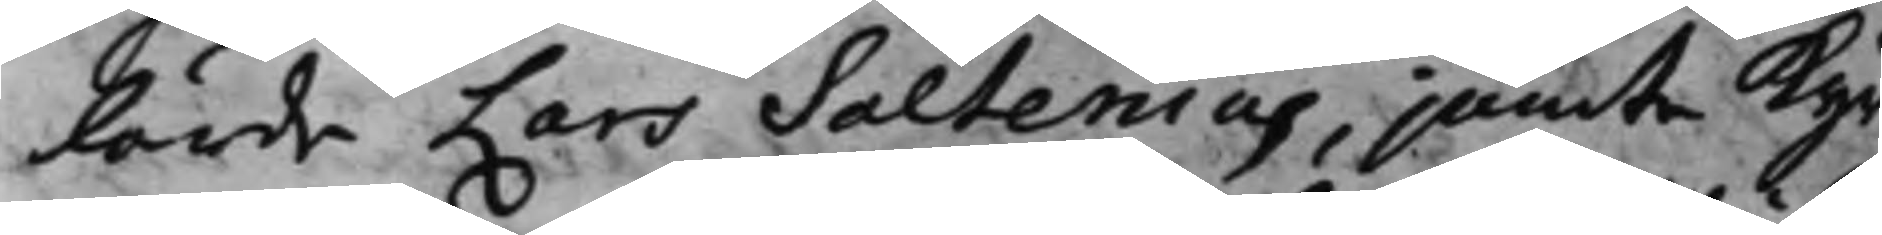lärde Lars Saltenius, jämte Kyr¬
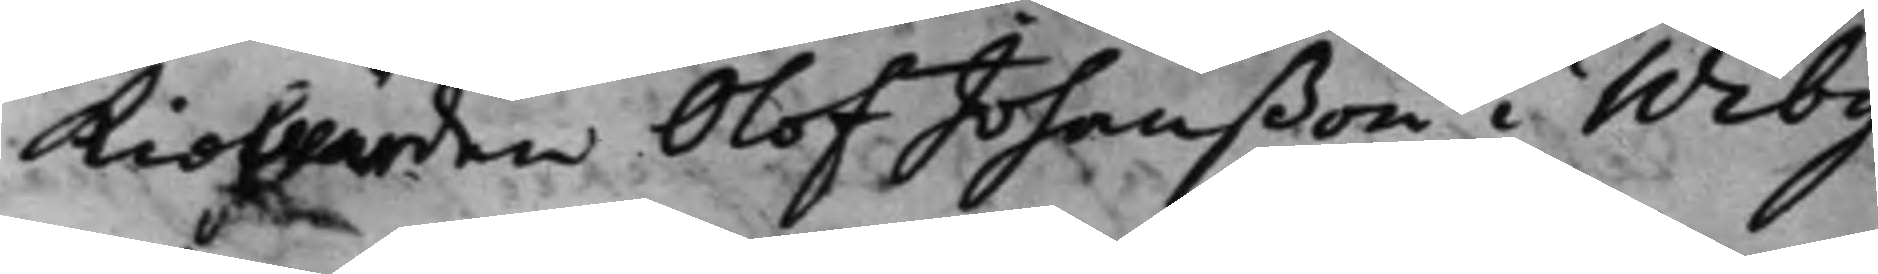kiowärden Olof Johanßon i Wiby
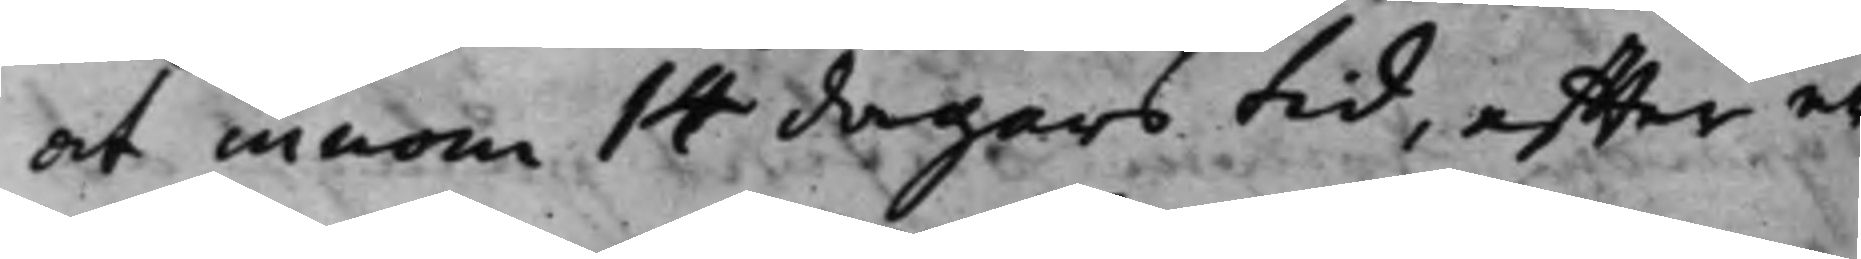at innom 14 dagars tid, effter er¬
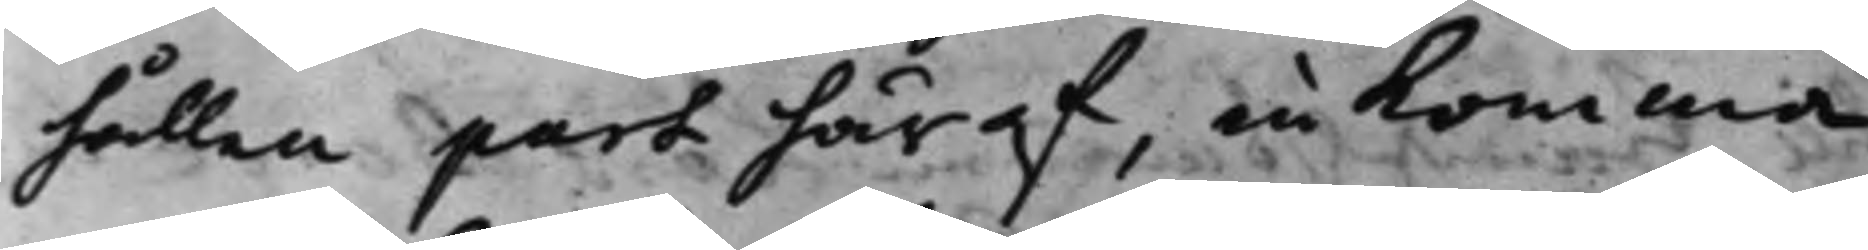hållen part häraf, inkomma
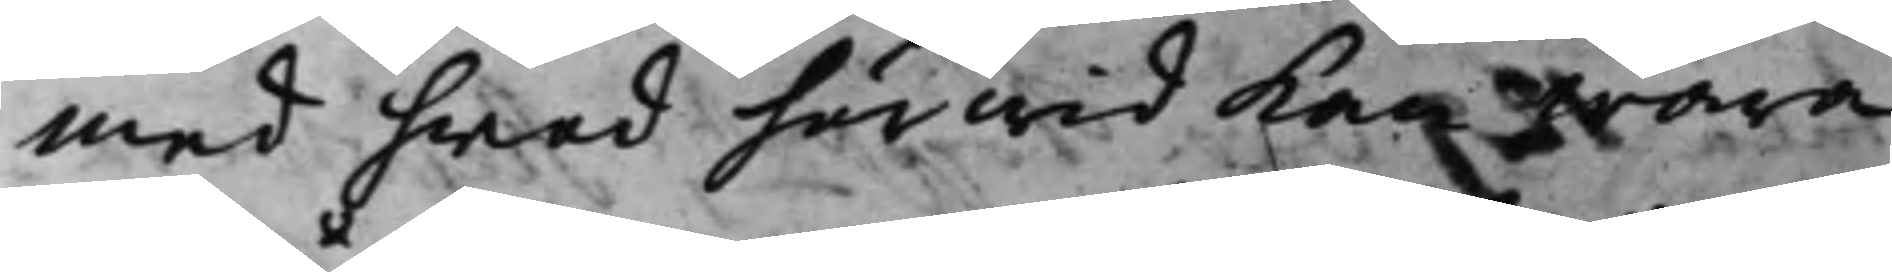med hwad härwid kan wara
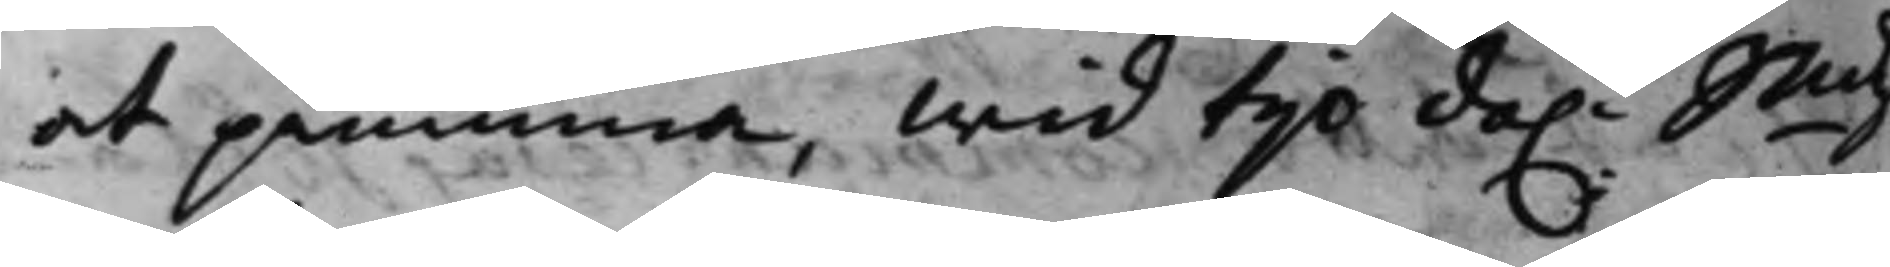at påminna, wid tio da.r Smtz
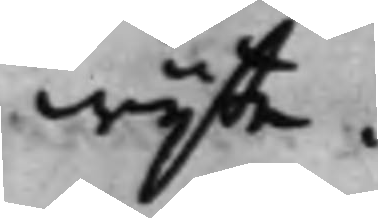wijte.
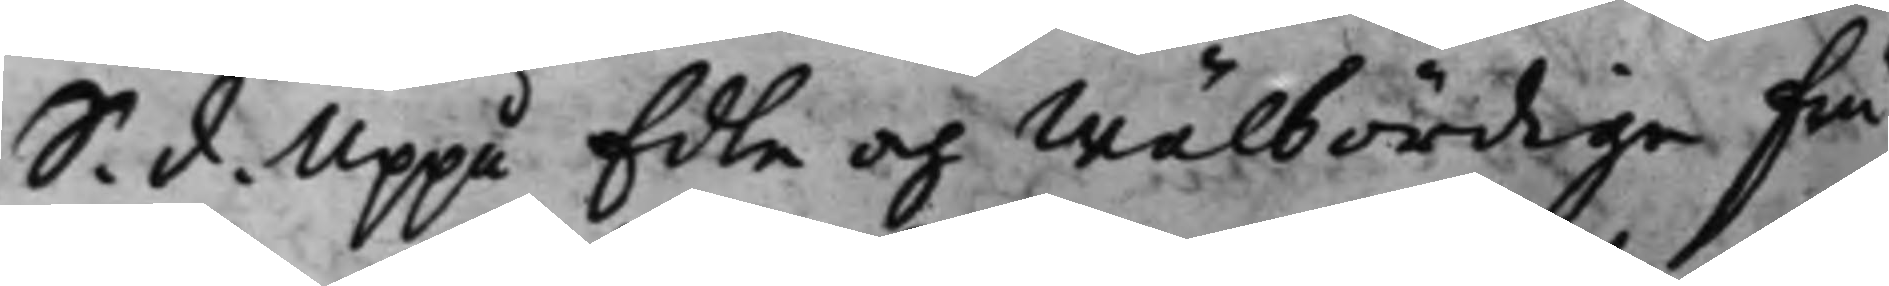S. d. Uppå Edle och Wälbördige fru
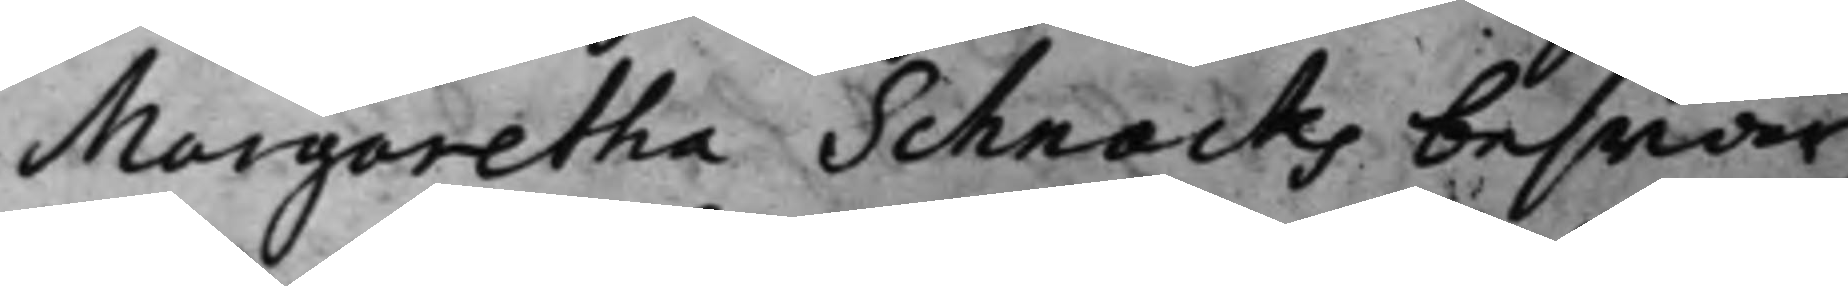Margaretha Schnacks beswär
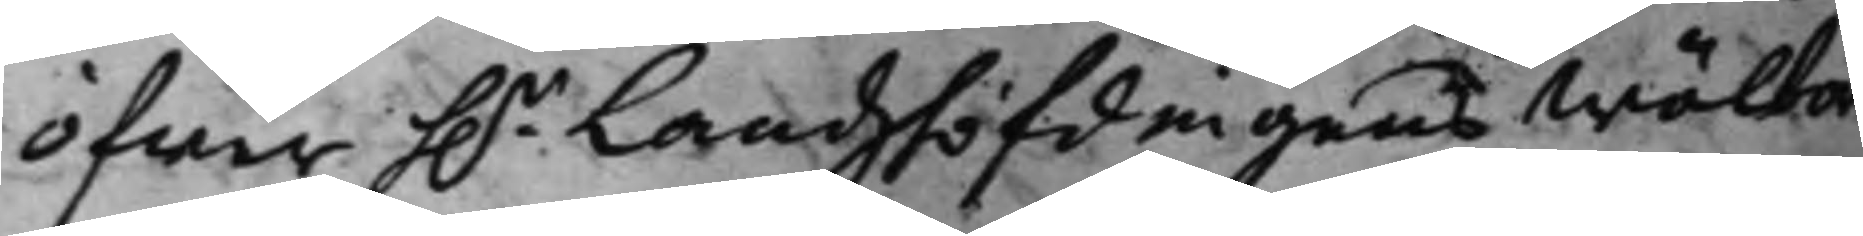öfwer h.r Landshöfdingens Wälbor¬
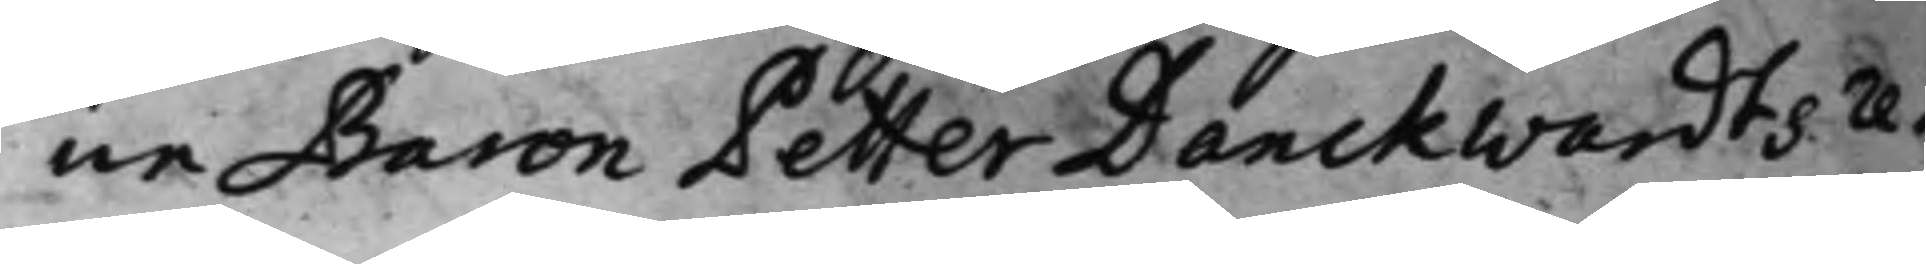ne Baron Petter Danckwardts re¬
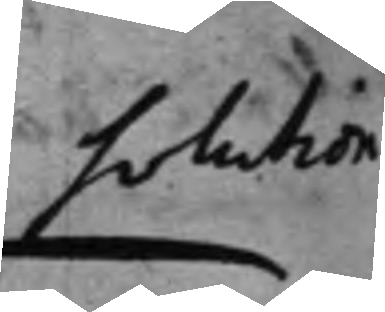solution
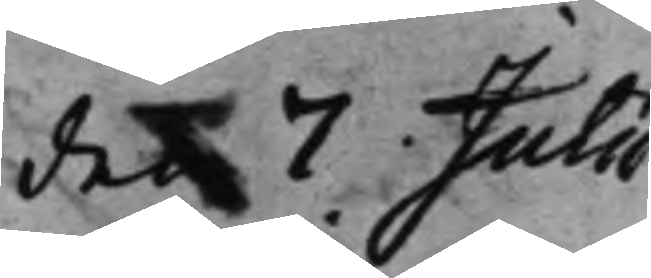den 7 Julii
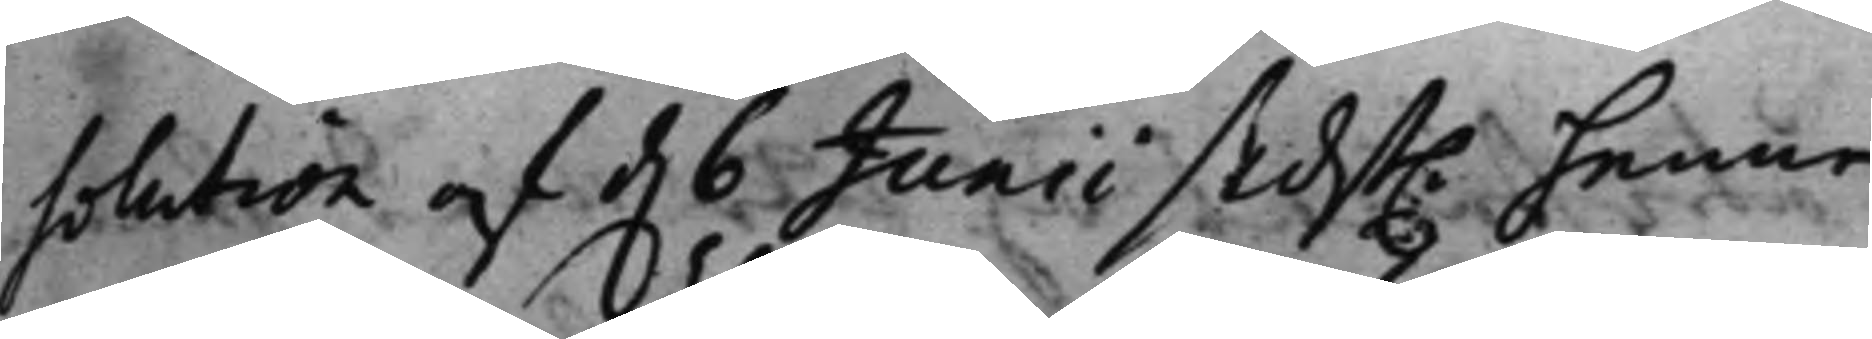solution af d. 6 Junii sidst. henne
